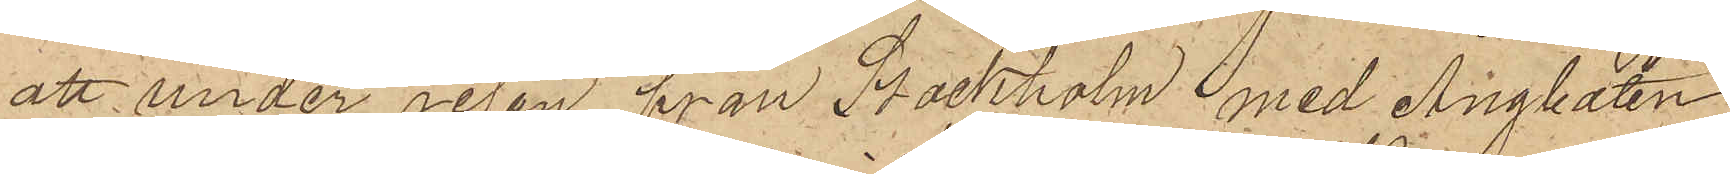att under resan från Stockholm med Ångbåten
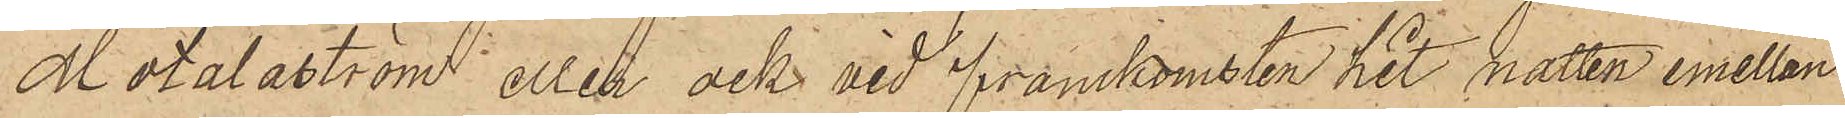Motalaström eller ock vid framkomsten hit natten emellan
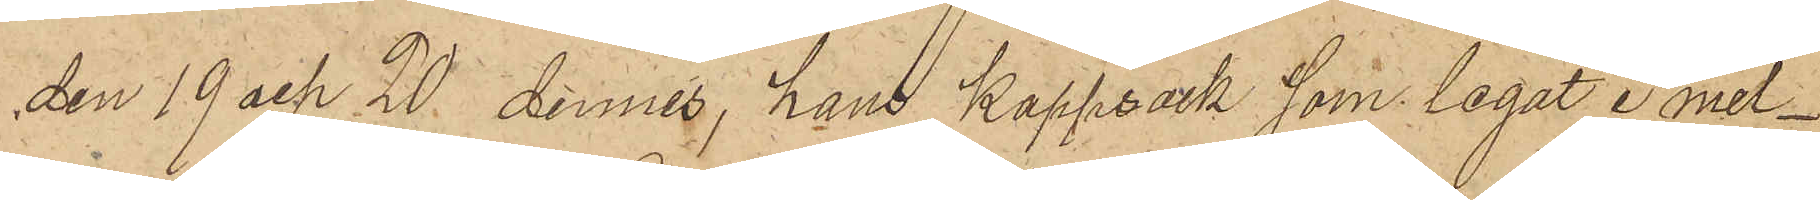den 19 och 20 dennes, hans kappsäck som legat i mel¬
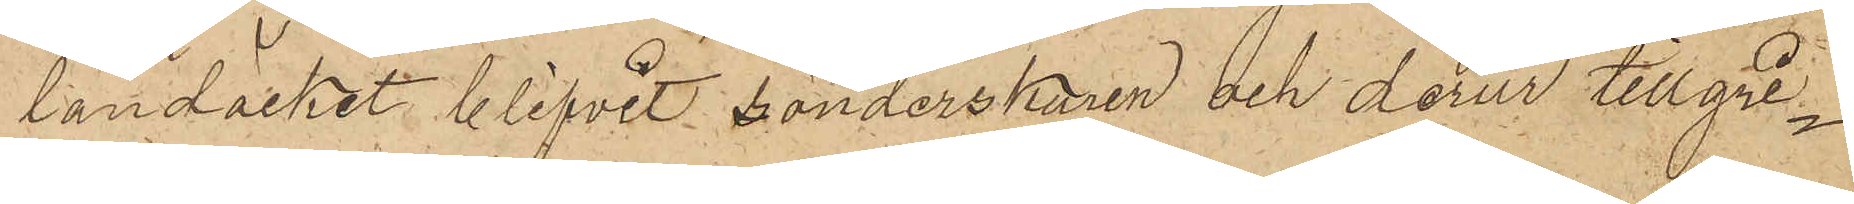landäcket blifvit sönderskuren och derur tillgri¬
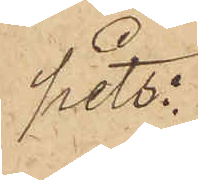pits:
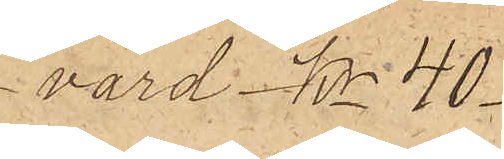En svart frack
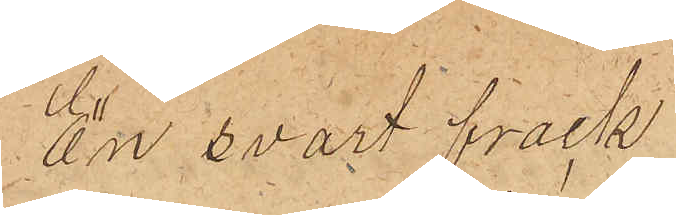värd Kr 40 
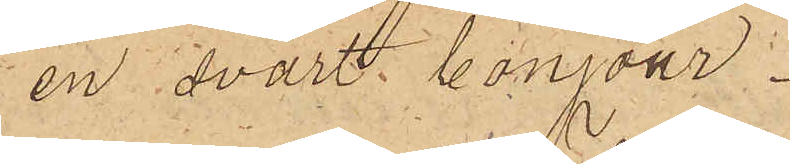en svart bonjour
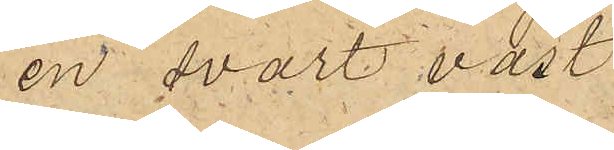en svart väst
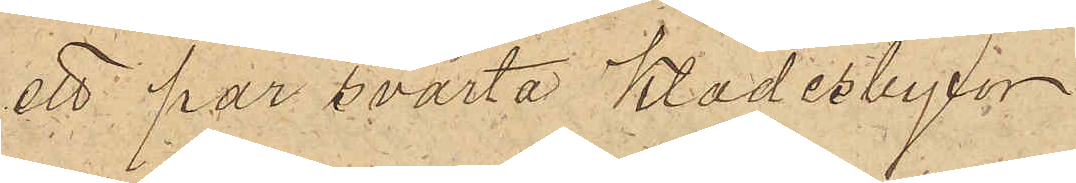ett par svarta Klädesbyxor
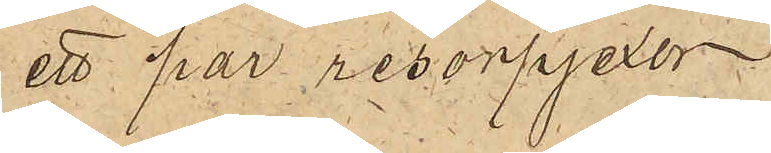ett par resorpjexor
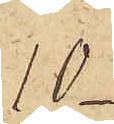10
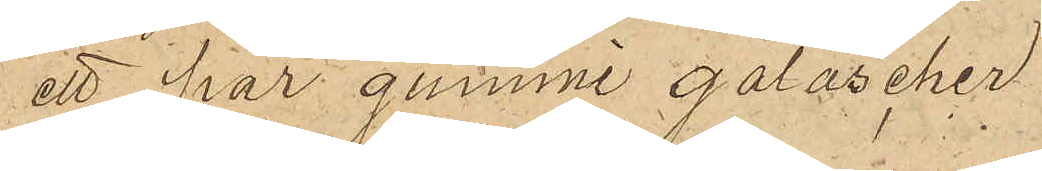ett par gummi galoscher
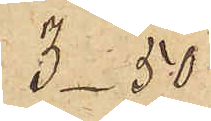3_50
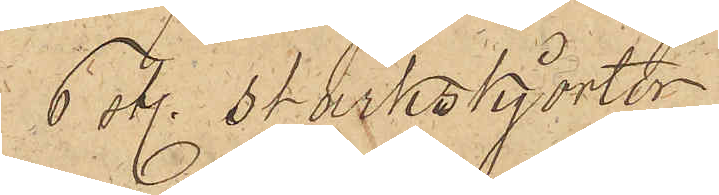6 sty. stärkskjortor
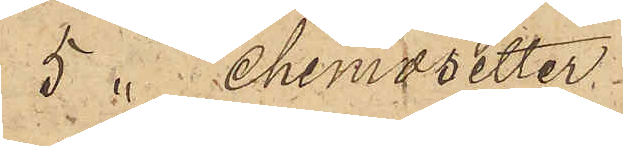5  chemisetter
